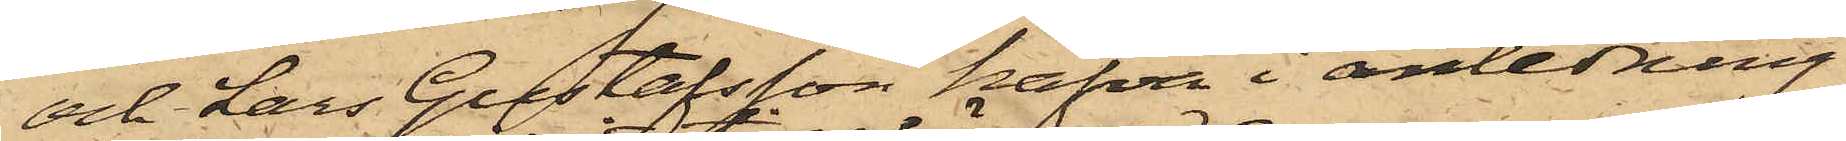och Lars Gustafsson hafva i anledning
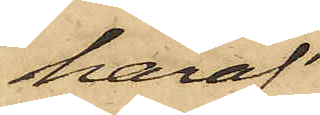häraf
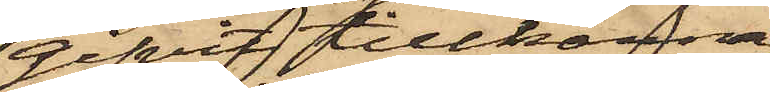gifvit tillkänna,
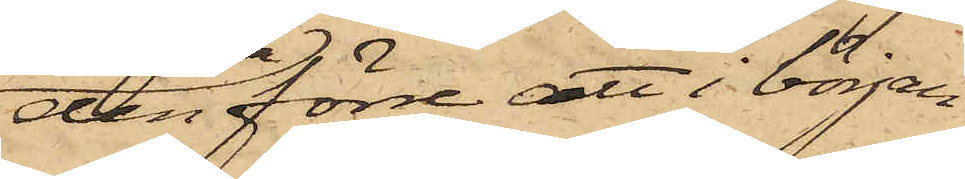den förre att i början
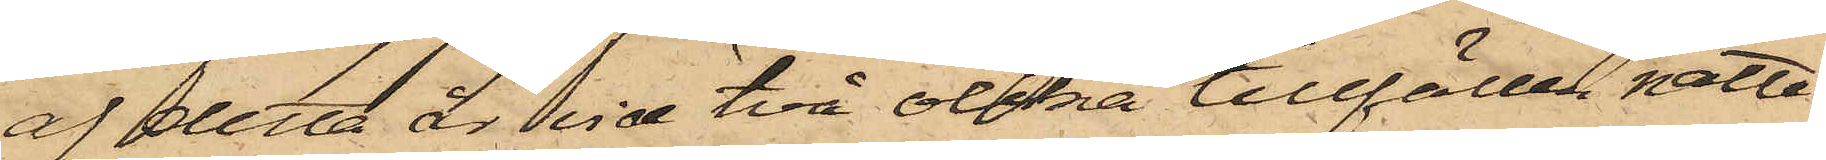af detta år vid två olika tillfällen natte¬
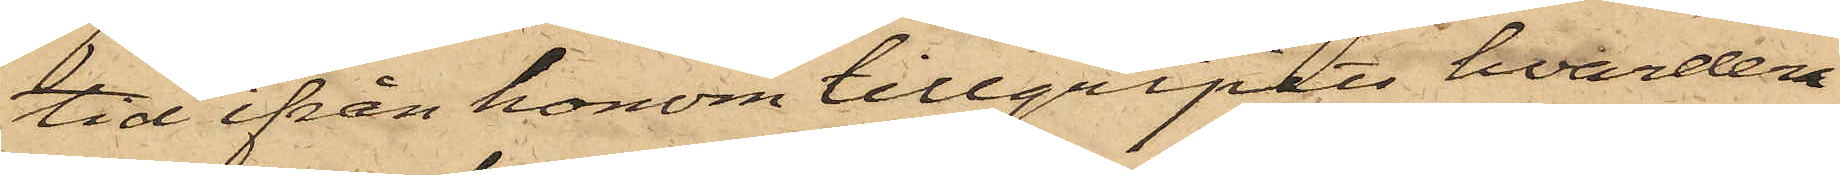tid ifrån honom tillgripits hvardera
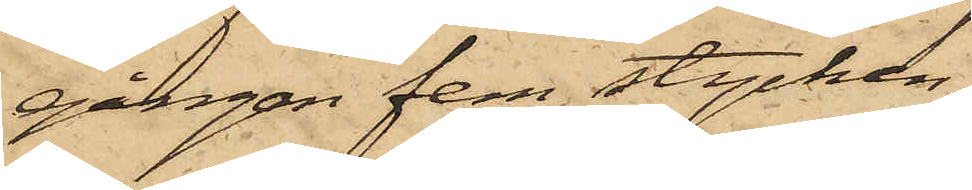gången fem stycken,
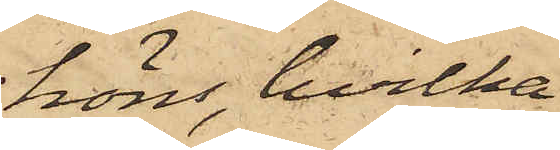höns, hvilka
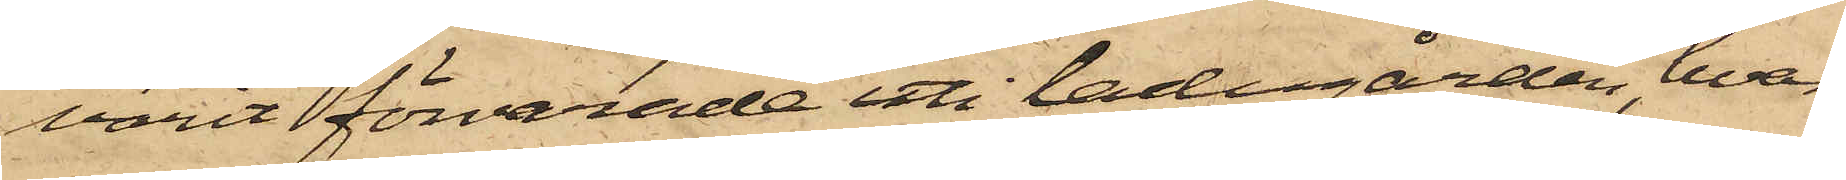varit förvarade uti ladugården, hvars
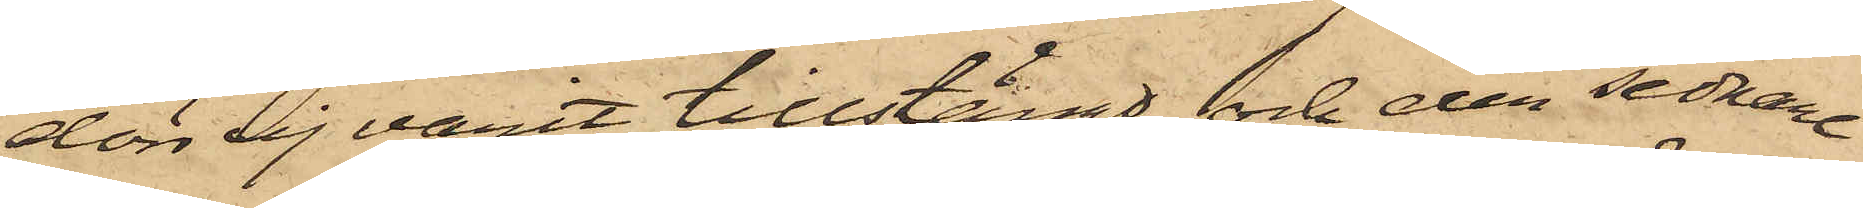dörr sig varit tillstängd, och den sednare
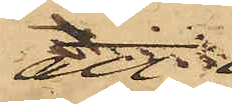att
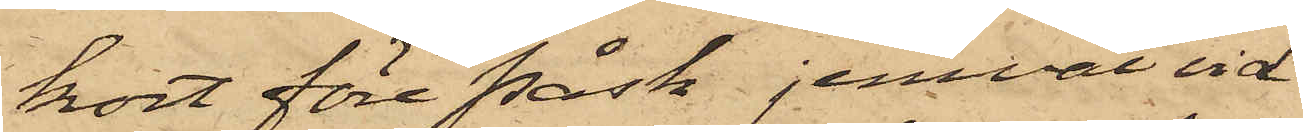kort före Påsk jemväl vid
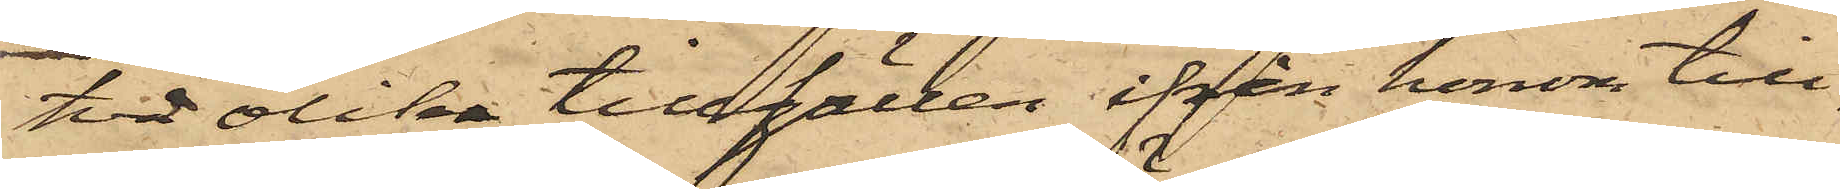tid olika tillfällen ifrån honom till¬
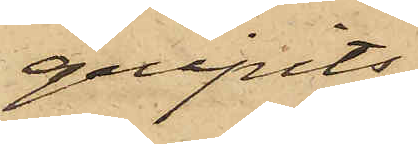gripits
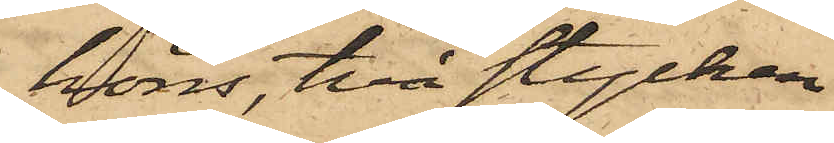höns, två stycken
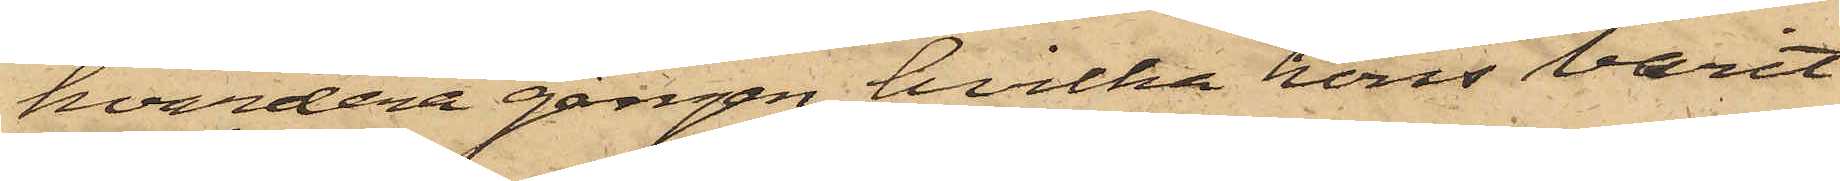hvardera gången, hvilka höns varit
